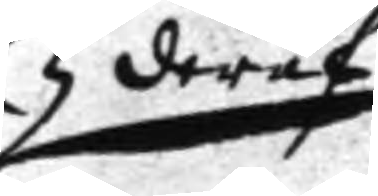deraf
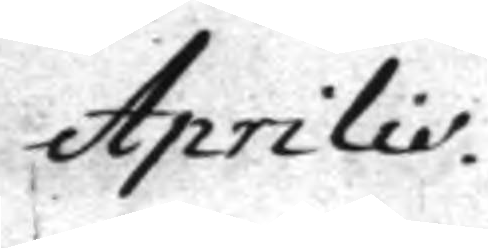Aprilio.
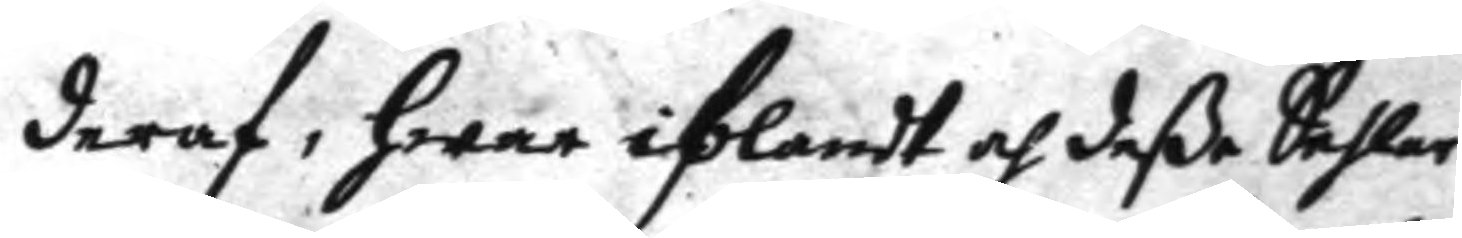deraf, hwar iblandt af deße Sehlar
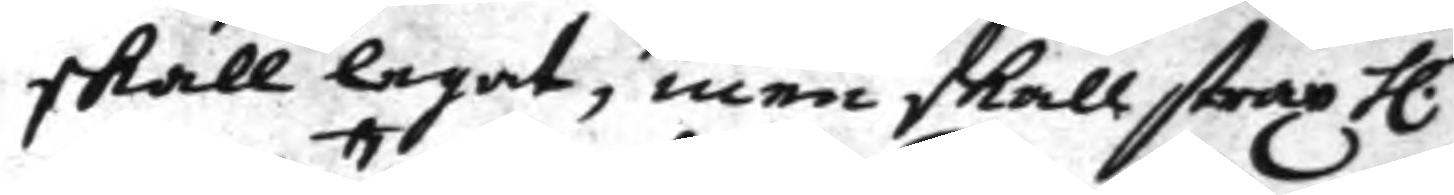skall legat, men skall strax h.
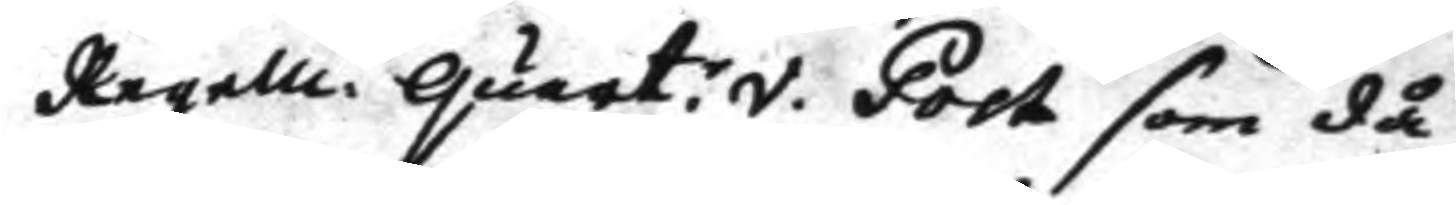Regem.tt Quart:v. Post som då
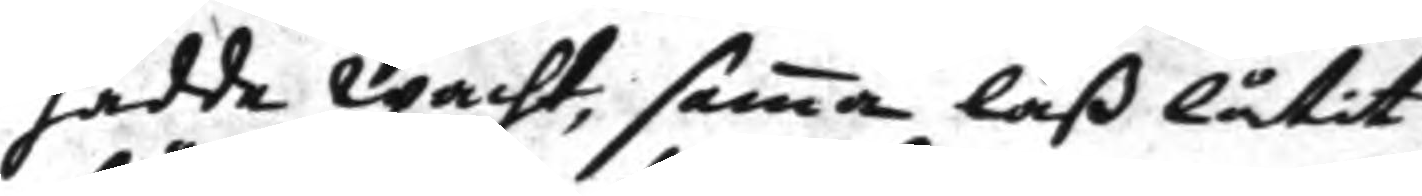hadde wacht, sama laß låtit
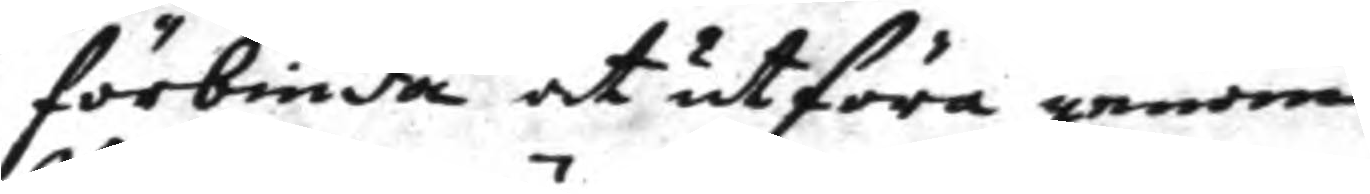förbiuda at utföra genom
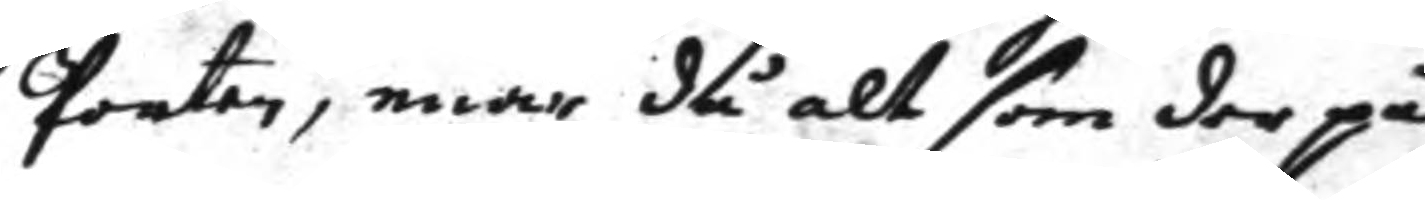Porten, enär då alt som der på
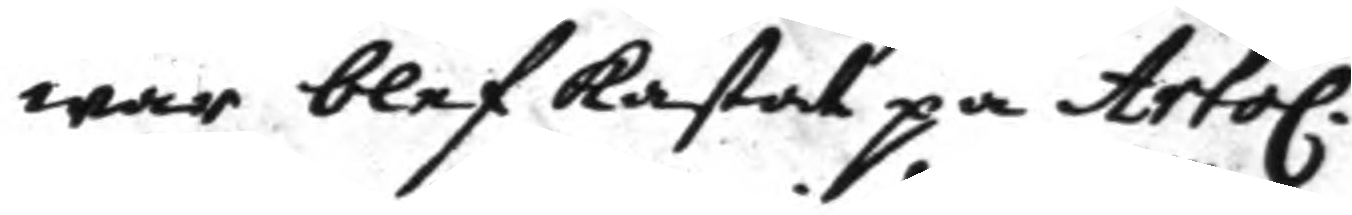war blef kastat på Artol.
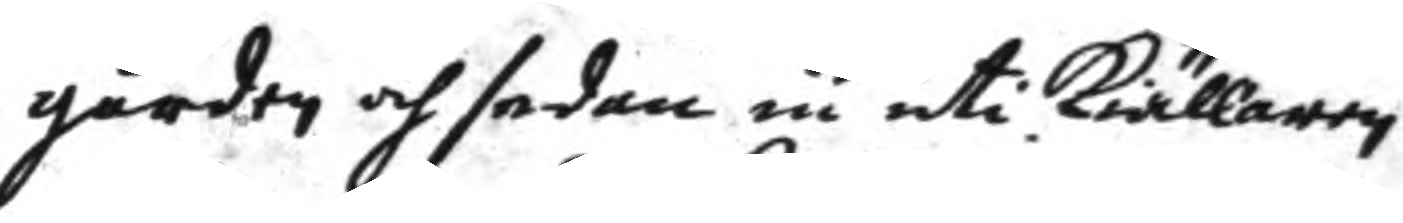gården och sedan in uti kiällaren
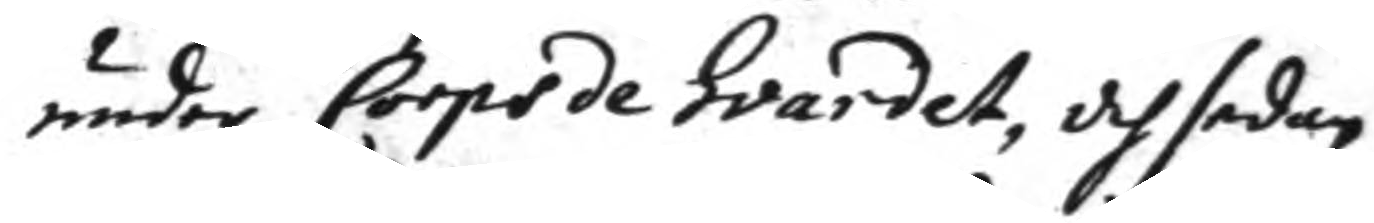under Corps de gvardet, och sedan
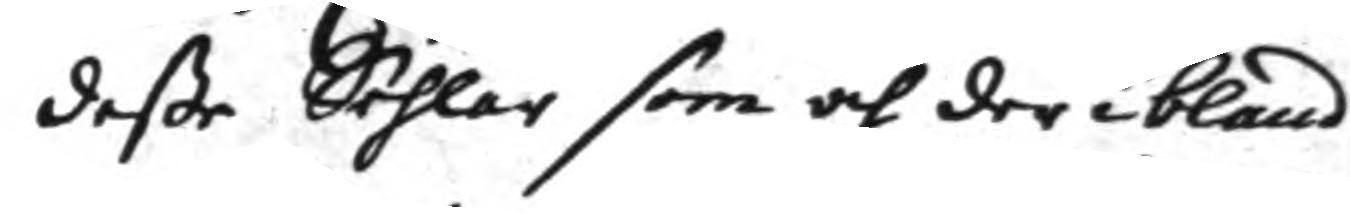deße Sehlar som och der ibland
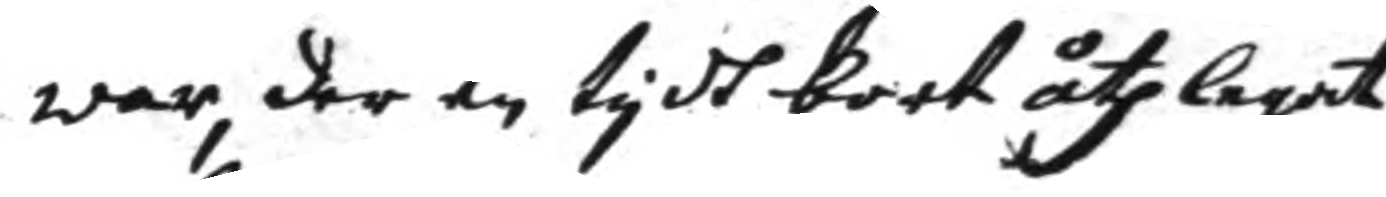war, der en tydh bort åthlegat
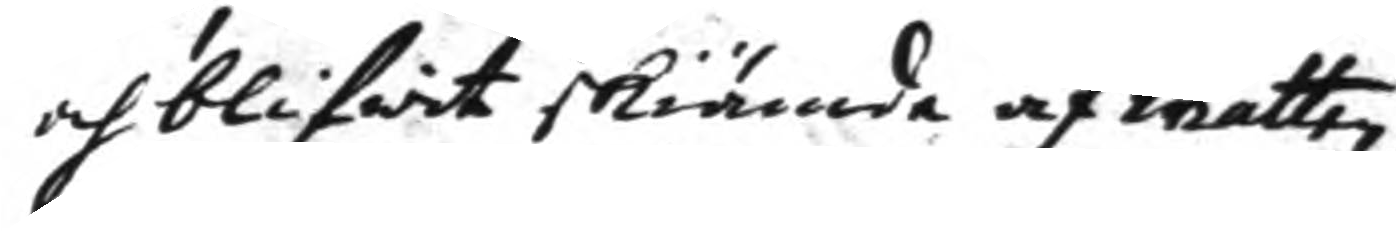och blifwit skiämde af watten
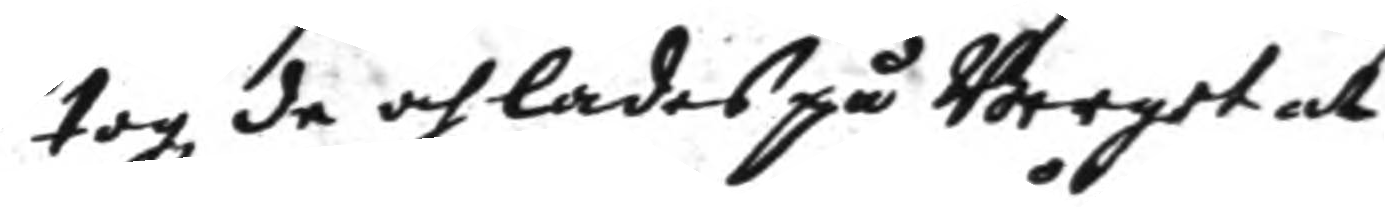togz de och lades på Berget och
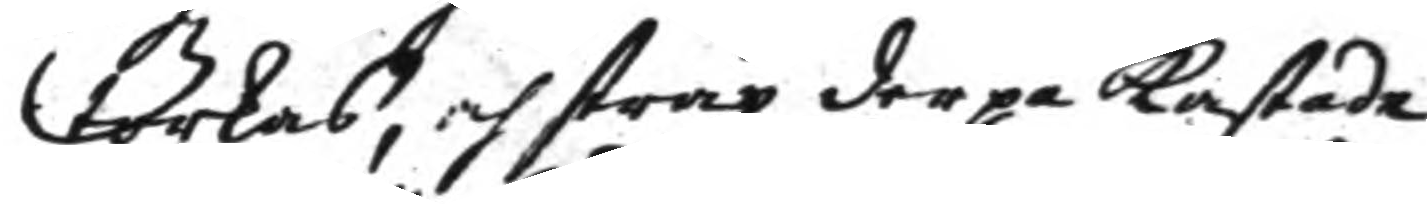torkas, och strax der på kastade
